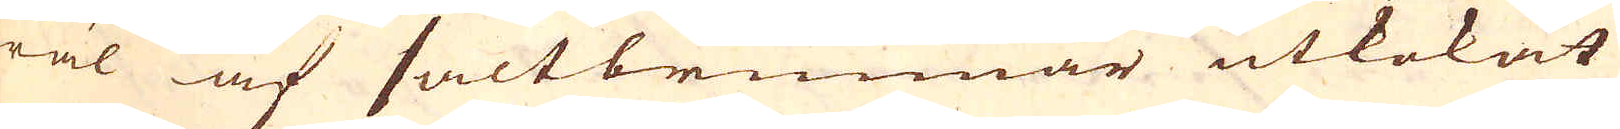wäl af saltbrunnar utkokat
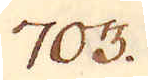703.
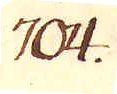704.
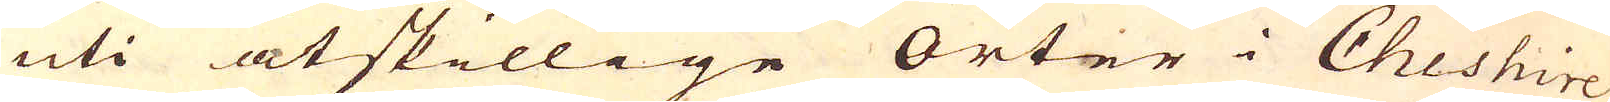uti åtskillige Orter i Cheshire
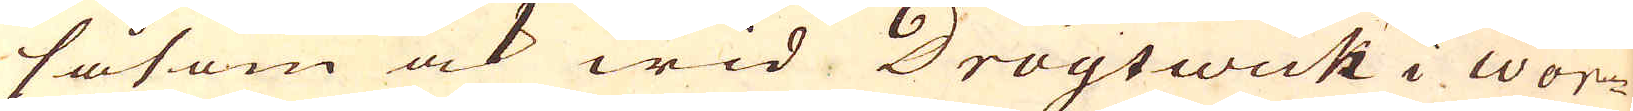såsom ock wid Droytwick i Wor-
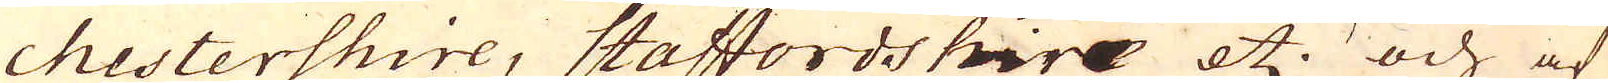chestershire, Staffordshire etc. och af
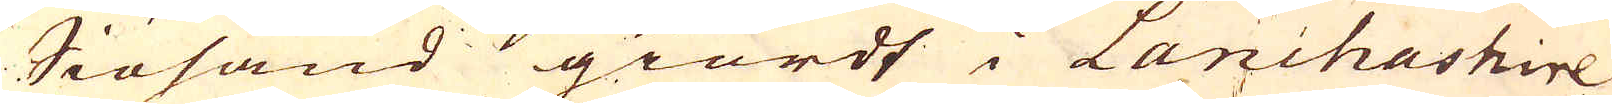Siösand  giordt i Lanchashire
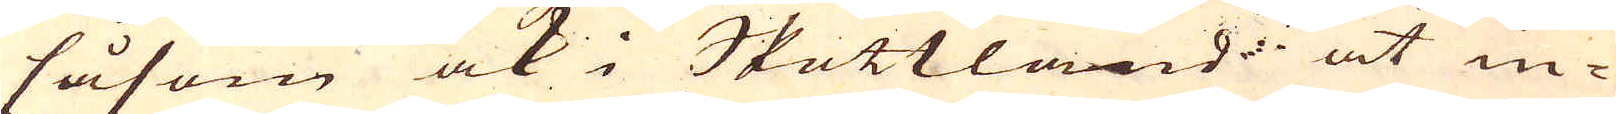såsom ock i Skottland at in-
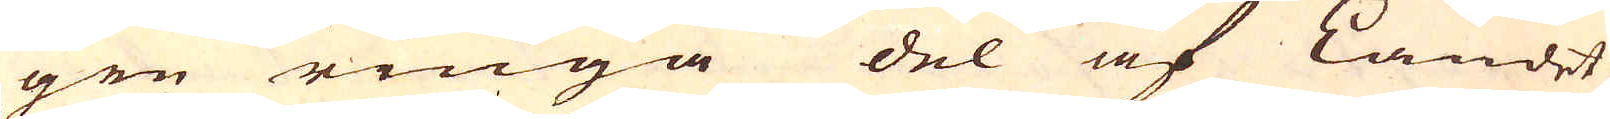gen ringa del af Landet
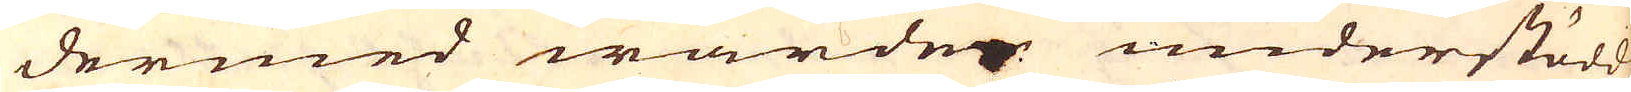dermed warden understödd,
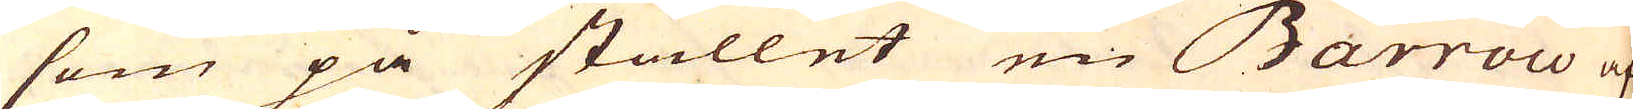som på stället en Barrow af
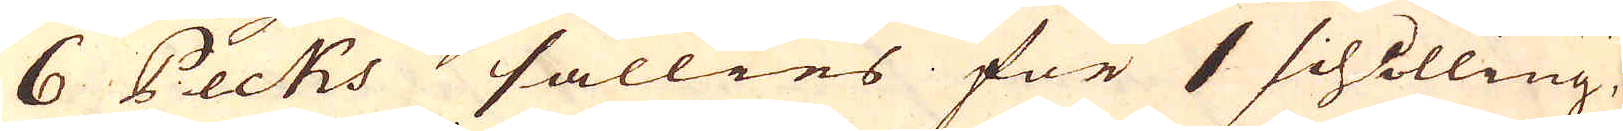6 Pecks sällies för 1 schilling,
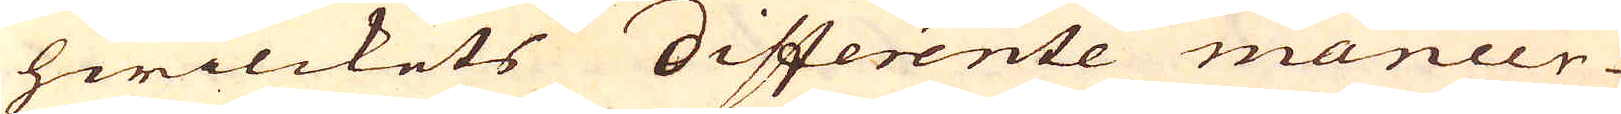hwilckets differente maneer
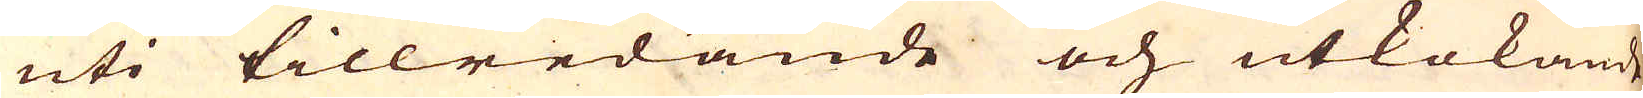uti tillredande och utkokande
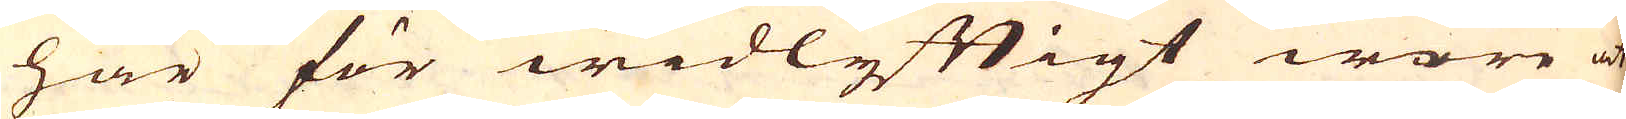här för widlyftigt wore at
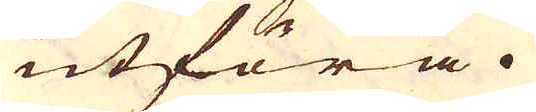utföra.
